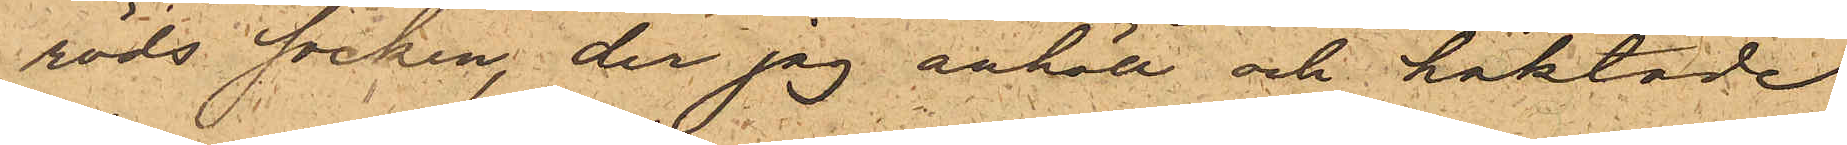röds socken, der jag anhöll och häktade
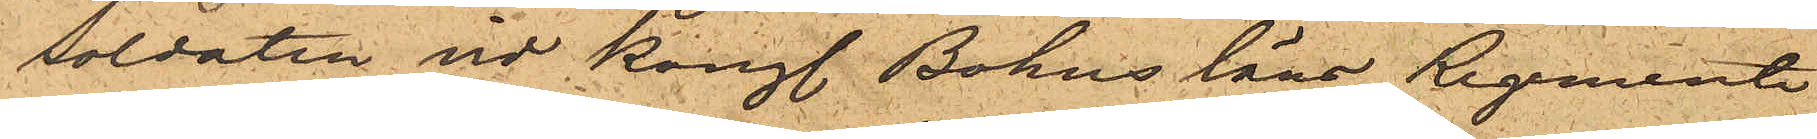soldaten vid Kongl. Bohus läns Regemente
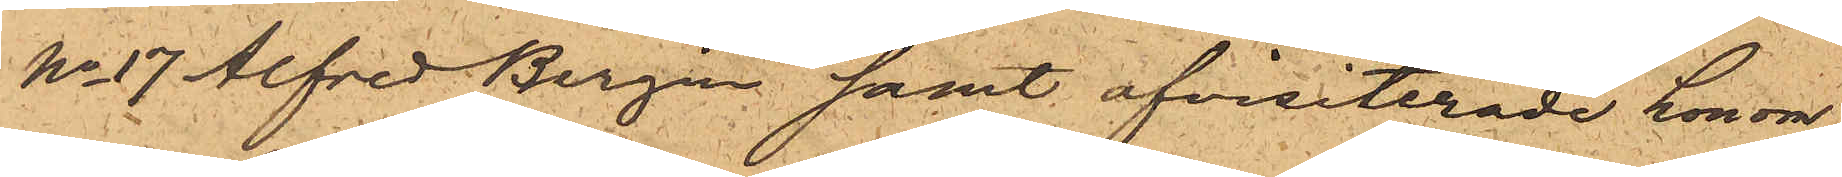No 17 Alfred Bergin samt afvisiterade honom,
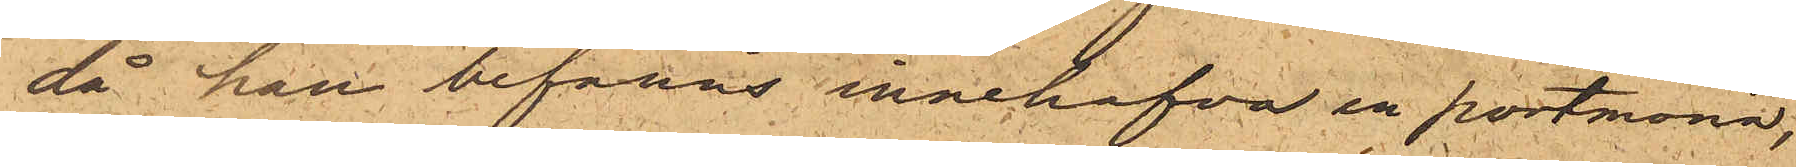då han befanns innehafva en portmonä,
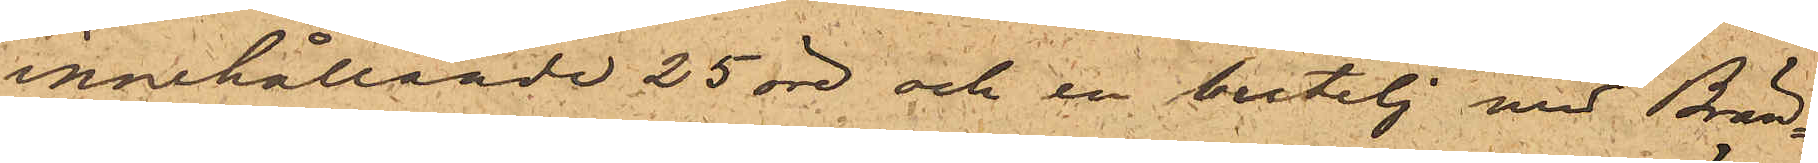innehållande 25 öre och en butelj med Brän¬
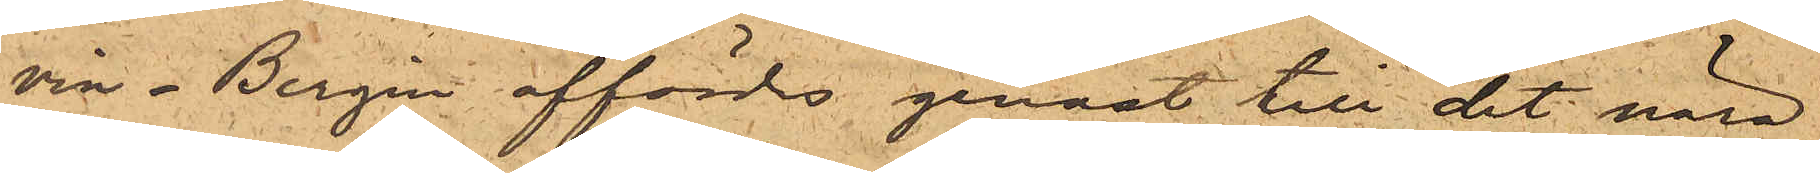vin. Bergin affördes genast till det nära
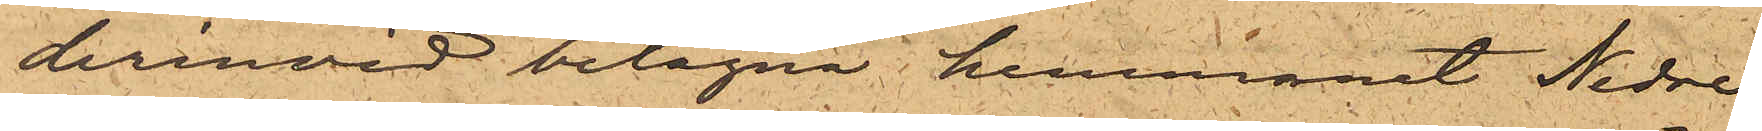derinvid belägna hemmanet Nedre
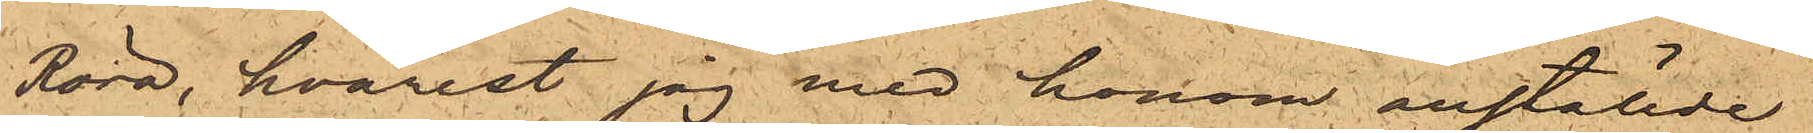Röra, hvarest jag med honom anställde
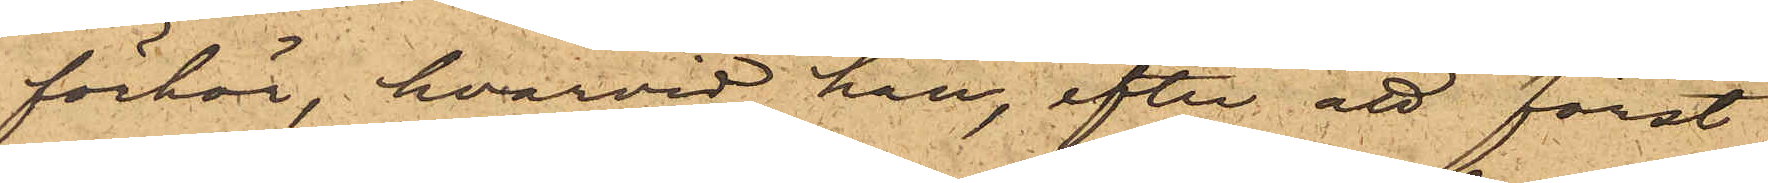förhör, hvarvid han, efter att först
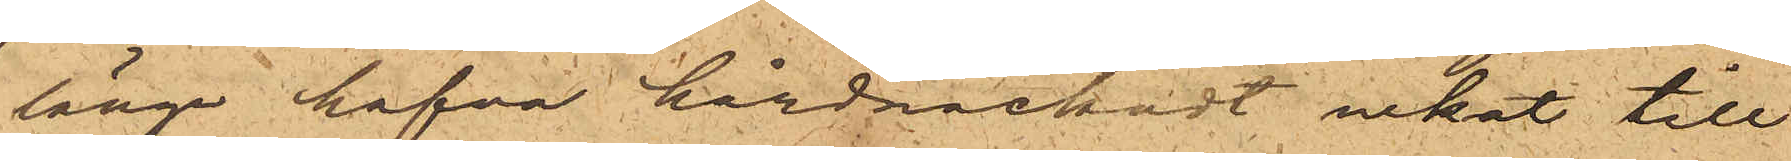länge hafva hårdnackadt nekat till
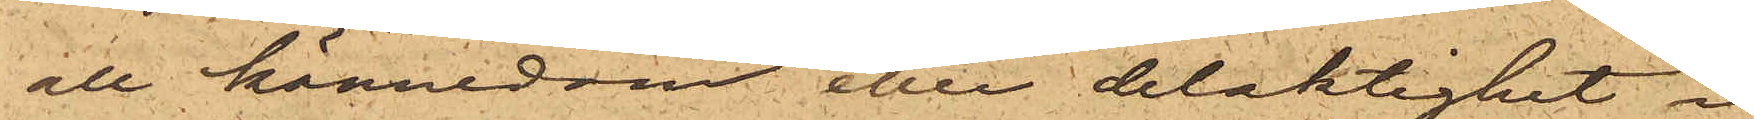all kännedom eller delaktighet i
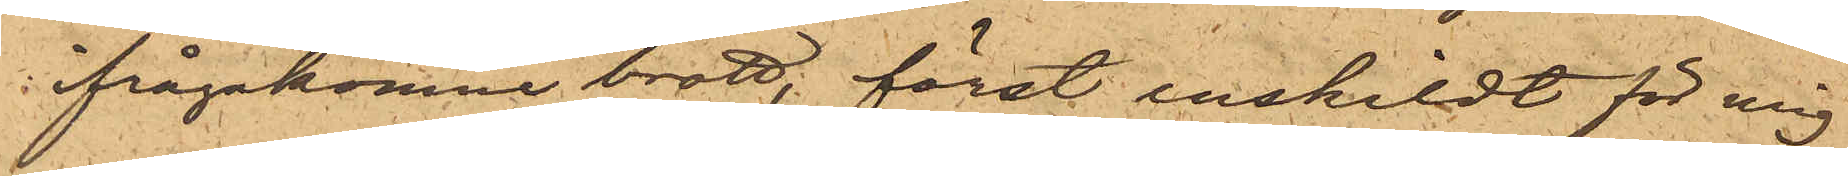ifrågakomne brott. först enskildt för mig
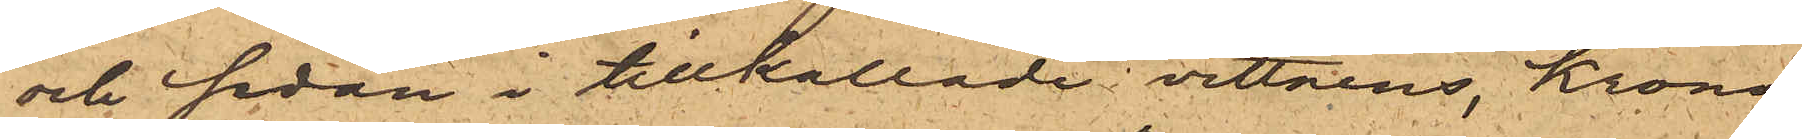och sedan i tillkallade vittnens, Krono¬
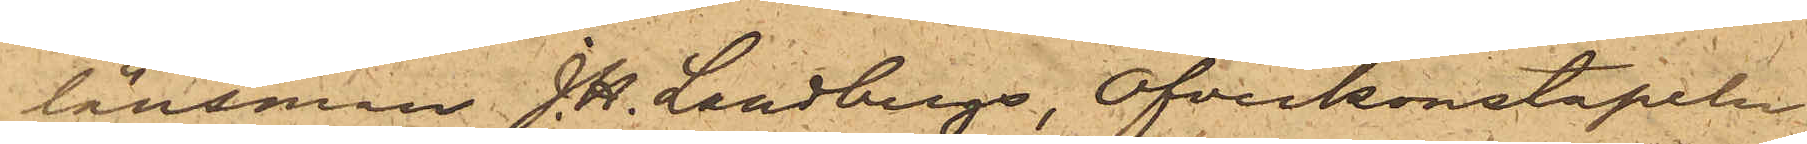länsman J. H. Landbergs, Öfverkonstapeln
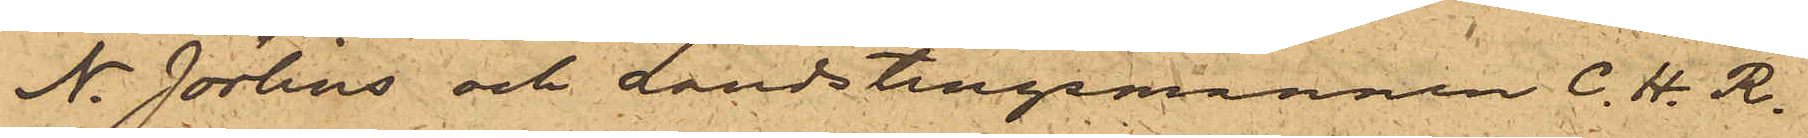N. Jörlins och Landstingsmannen C.H.R.
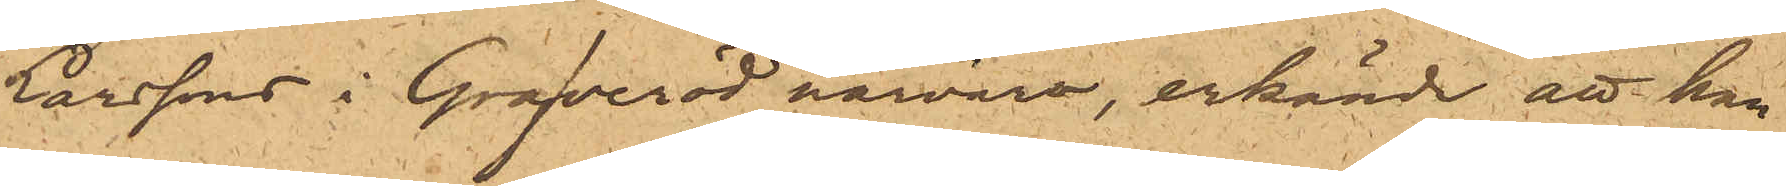Larssons i Grafveröd närvaro, erkände att han
